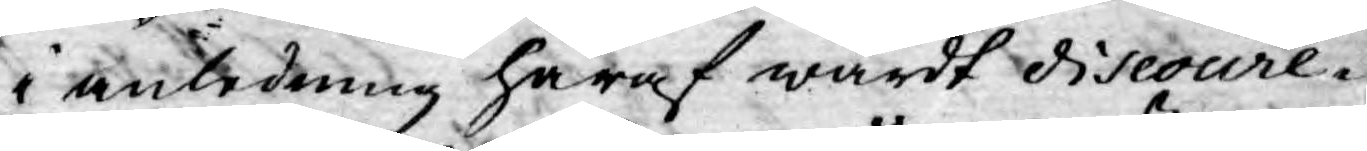i anledning häraf wardt discoure¬
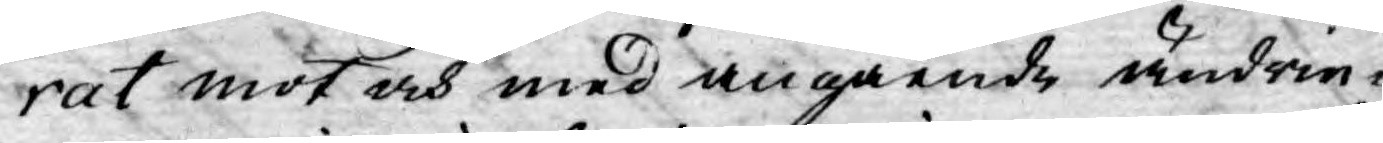rat mot och med angående ändrin¬
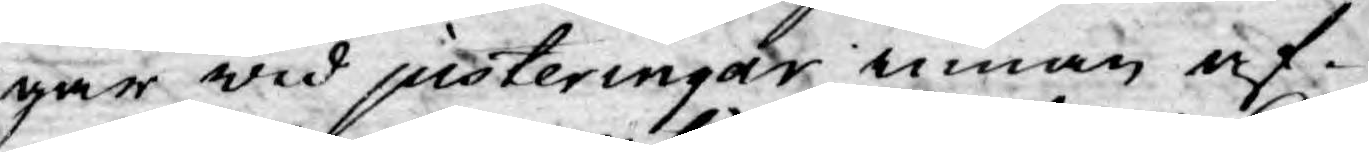gar wid justeringar innan af¬
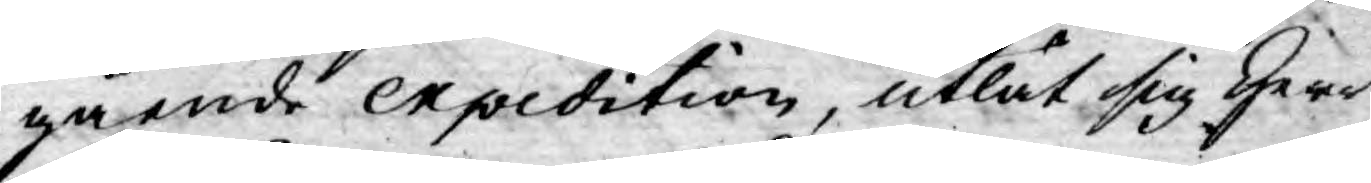gående expedition, utlät sig Herr
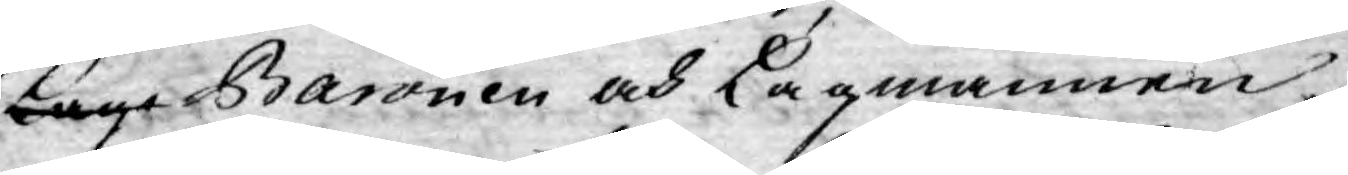Lage Baronen och Lagmannen
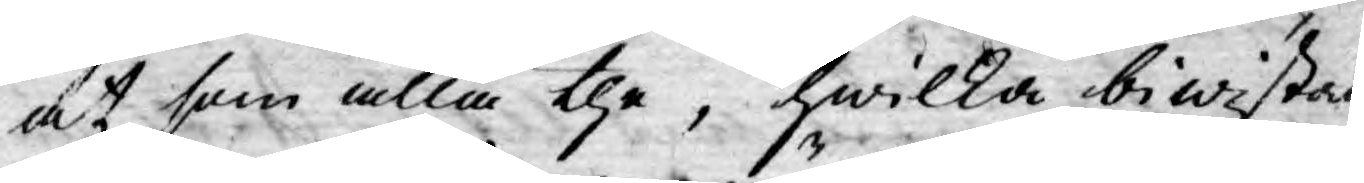at som alla the, hwilka biwistade
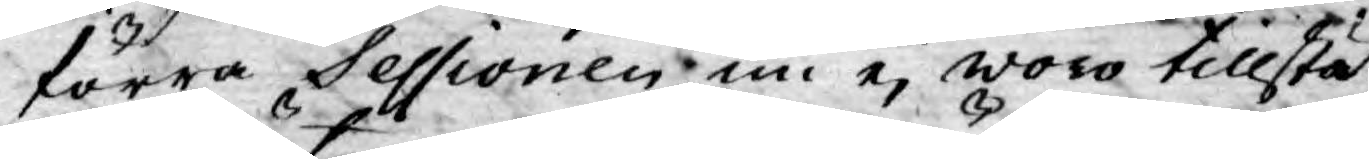förra Sessionen nu ej woro tillstä¬
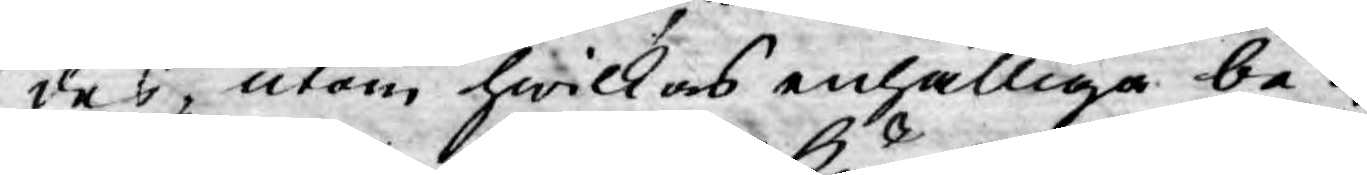des, utom hwilkas enhälliga be¬
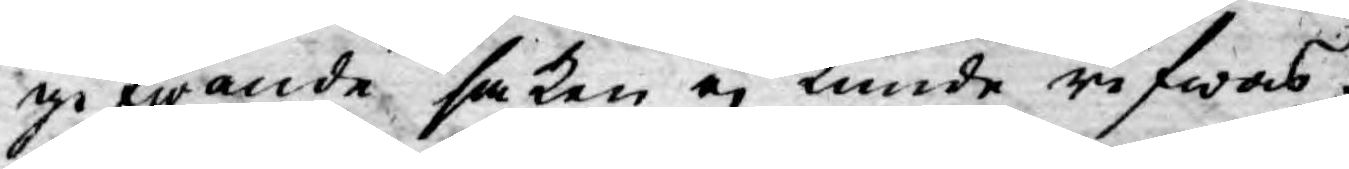gifwande saken ej kunde rifwas
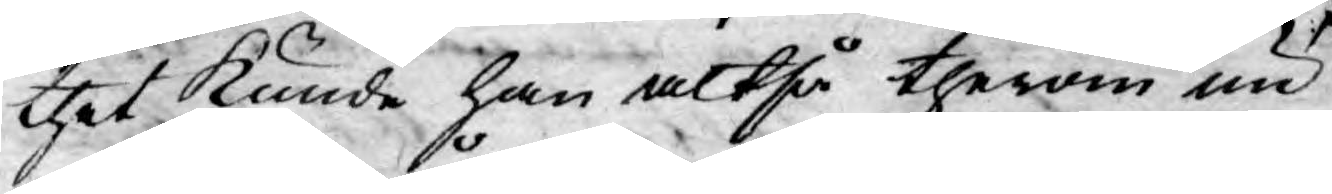thet kunde han altså therom nu
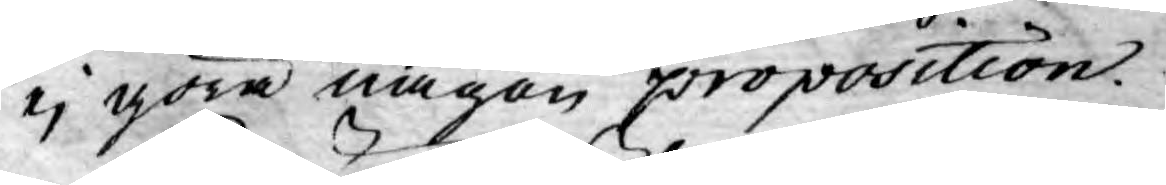ej göra någon proposition.
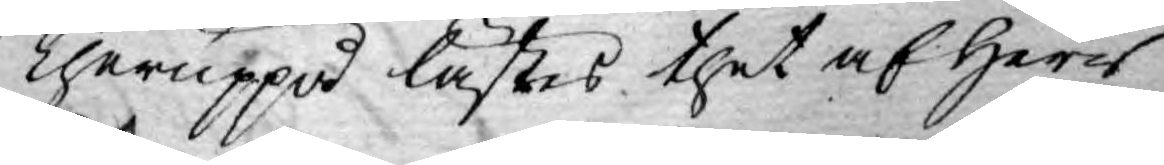Theruppå lästes thet af Herr
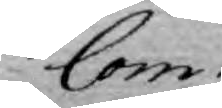Com¬
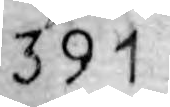391
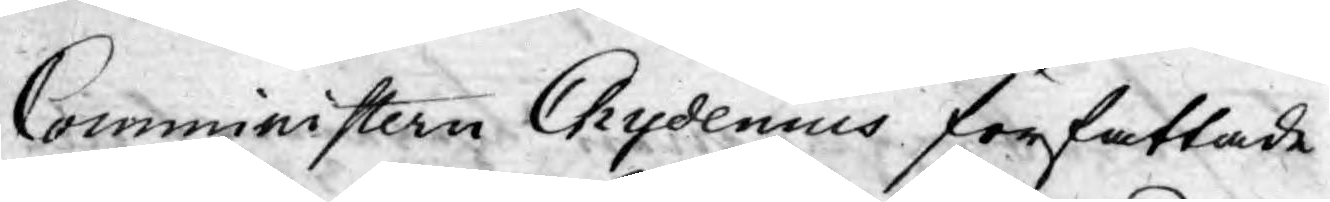Comministern Chydenius författade
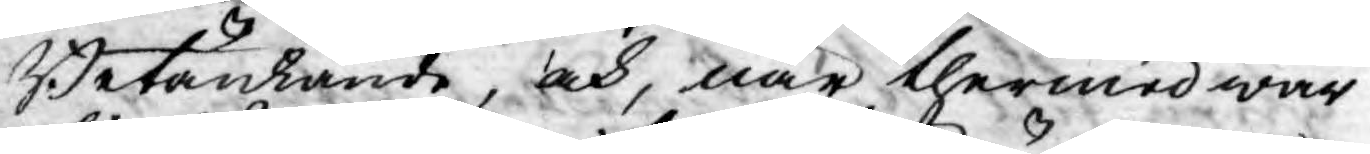Betänkande, och, när thermed war
